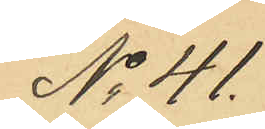No 41.
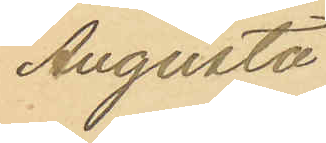Augusta
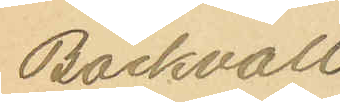Bäckvall
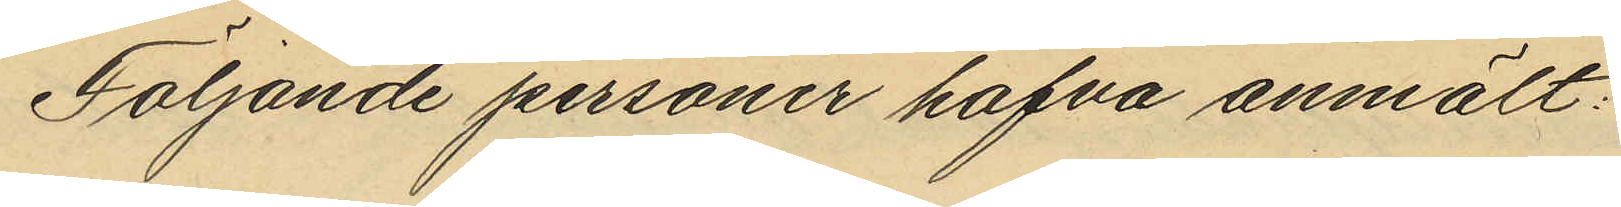Följande personer hafva anmält:
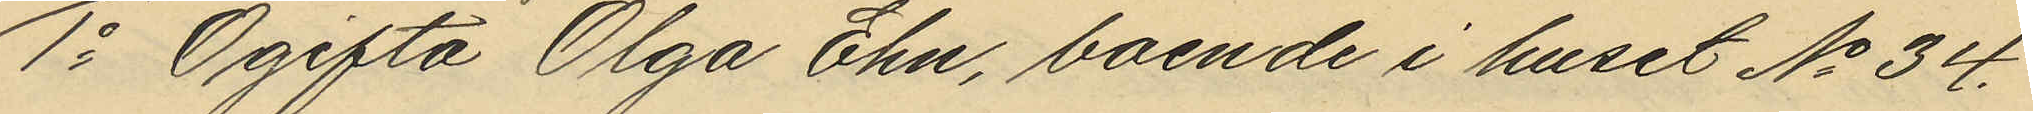1o Ogifta Olga Ehn, boende i huset No 34.
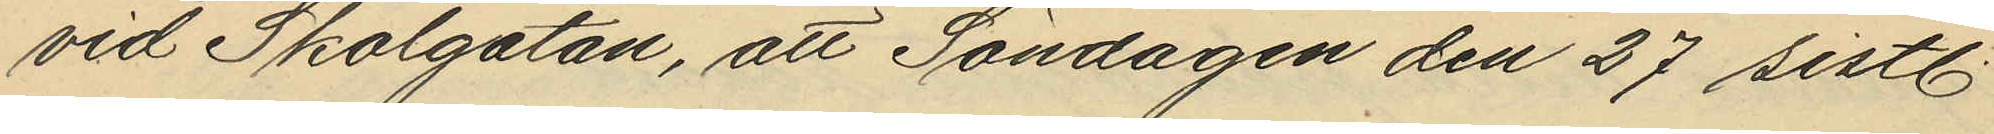vid Skolgatan, att Söndagen den 27 sistl
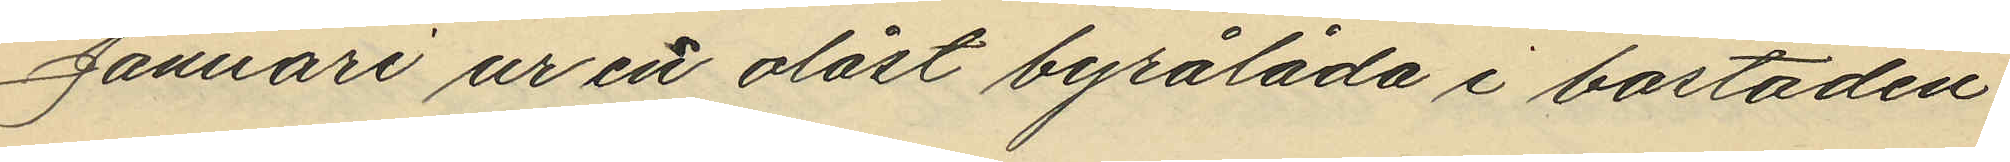Januari ur en olåst byrålåda i bostaden
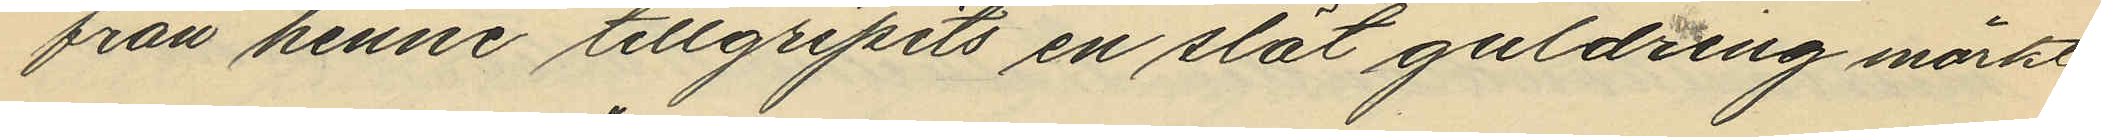från henne tillgripits en slät guldring märkt
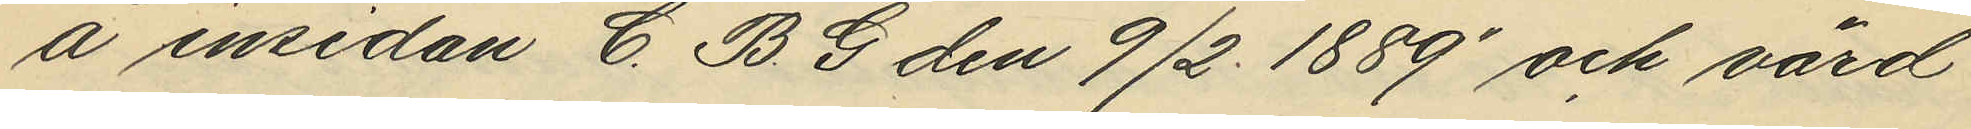å insidan "C. B. G den 9/2 1889" och värd
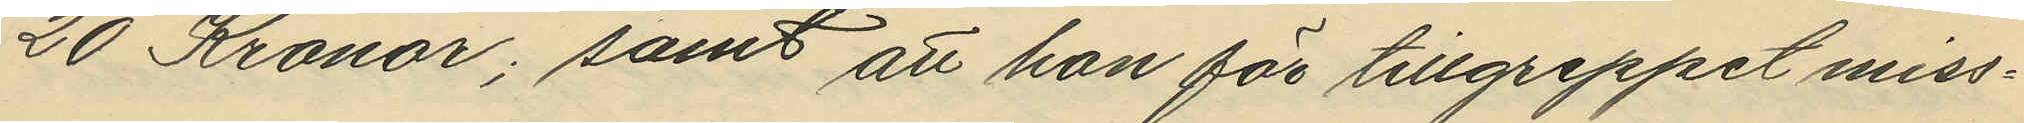20 Kronor; samt att hon för tillgreppet miss¬
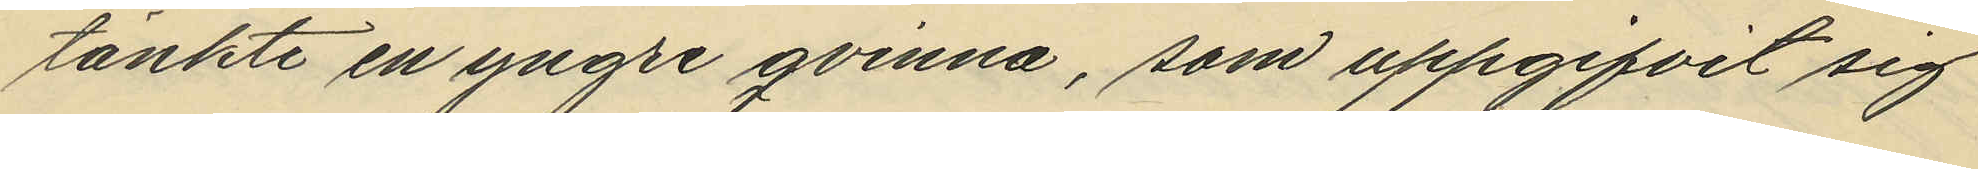tänkte en yngre qvinna, som uppgifvit sig
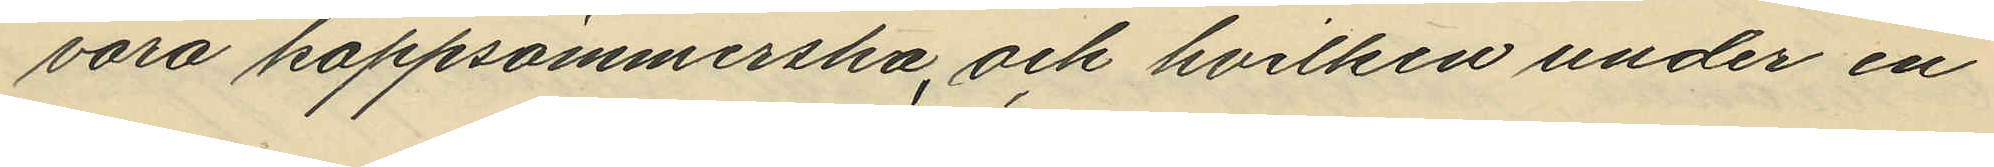vara kappsömmerska, och hvilken under en
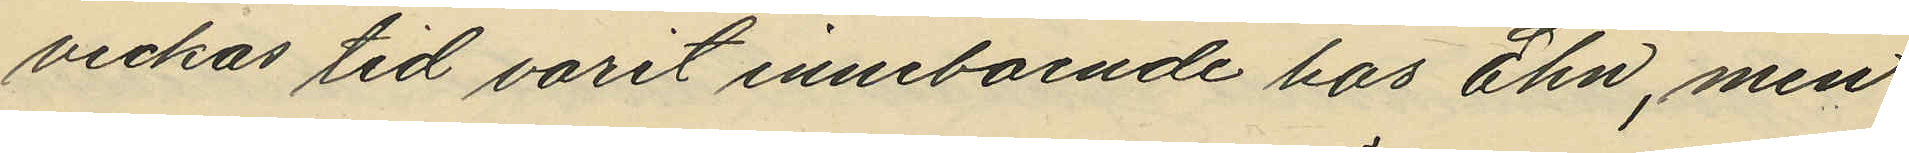veckas tid varit inneboende hos Ehn, men
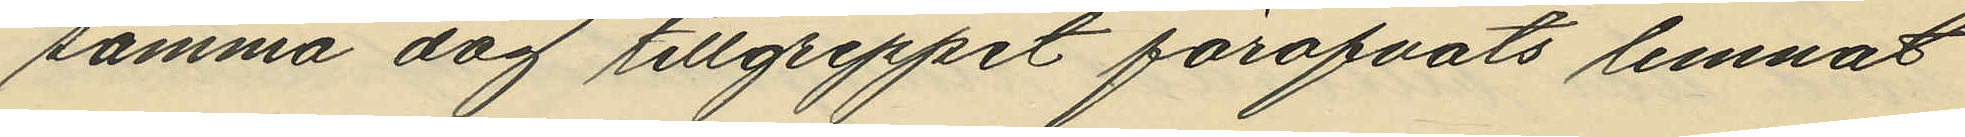samma dag tillgreppet föröfvats lemnat
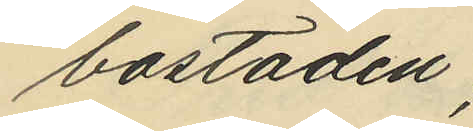bostaden;
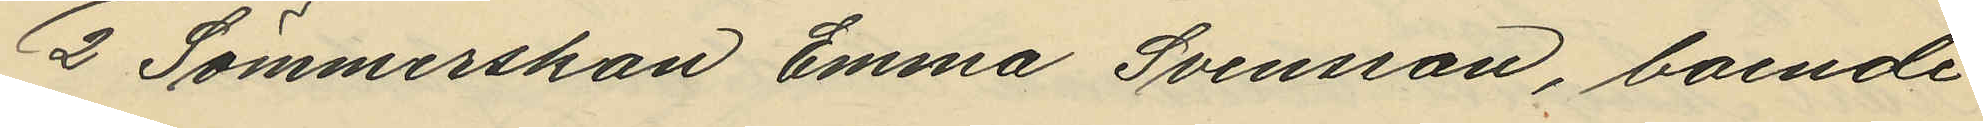2o Sömmerskan Emma Svensson, boende
